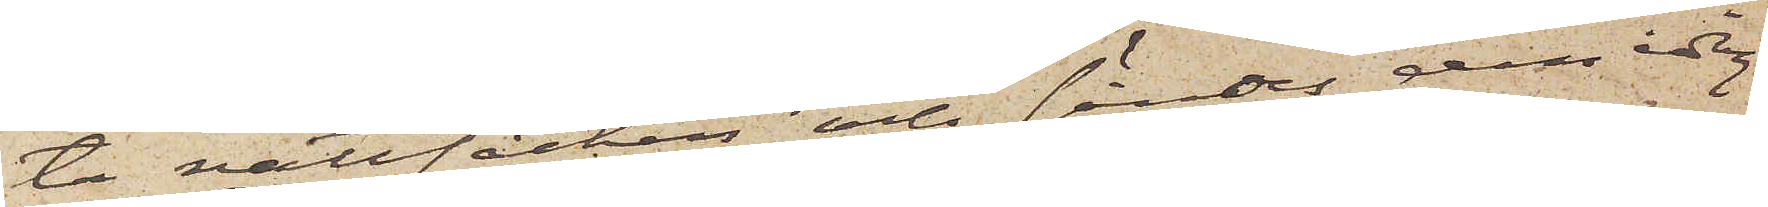ta nattsäcken och sänder den idag
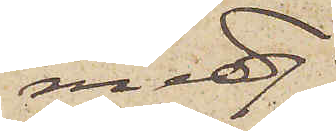med
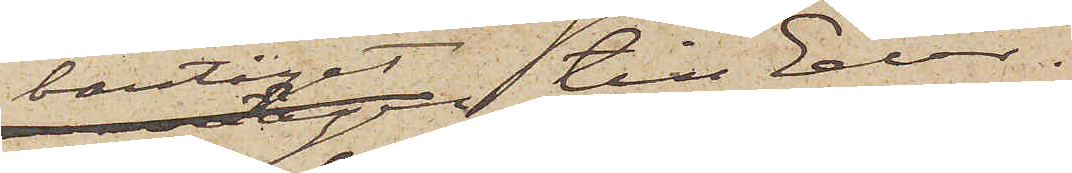bantåget till Eder.
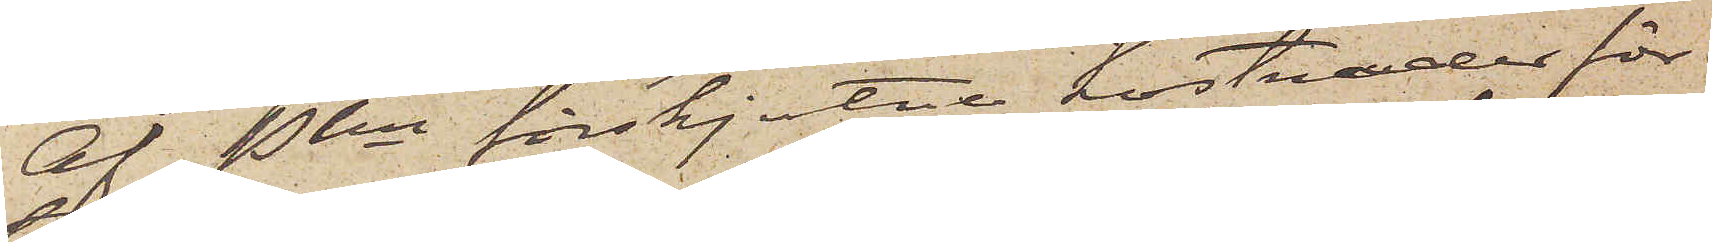Af Pkn förskjutne kostnader för
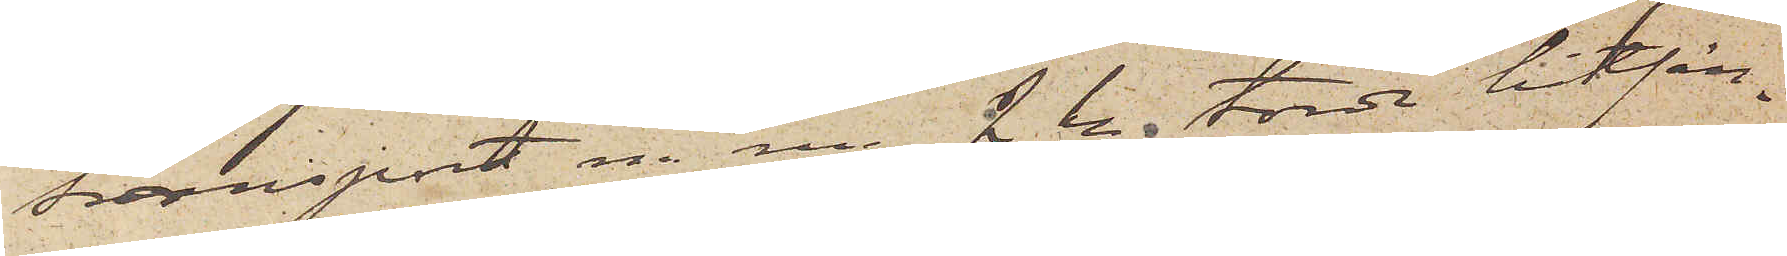transport m. m. 2 kr torde hitsän¬
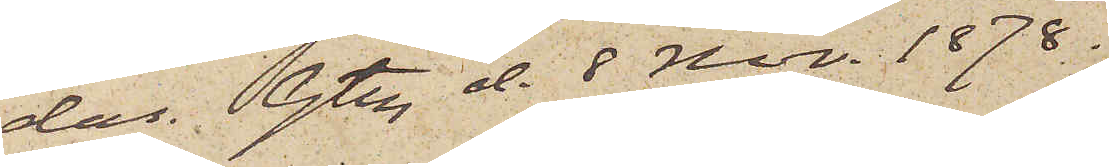das. Gtbg d. 8 Nov. 1878.
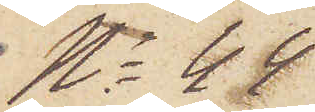No 44
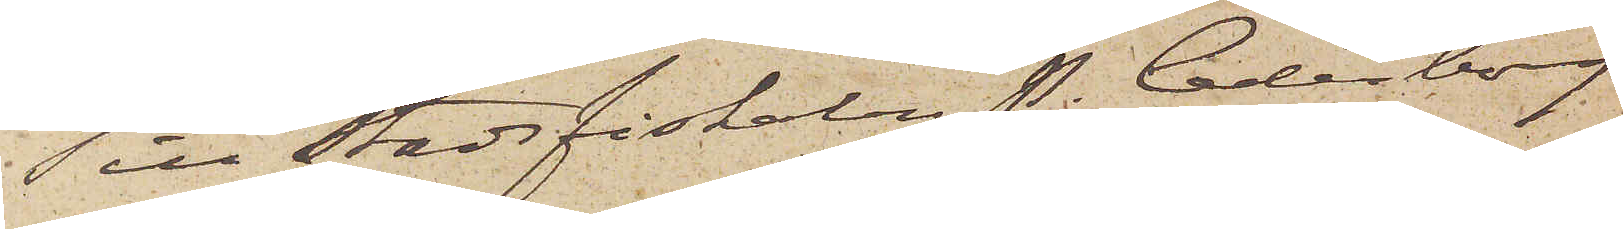Till Stadsfiskalen P. Cederborg
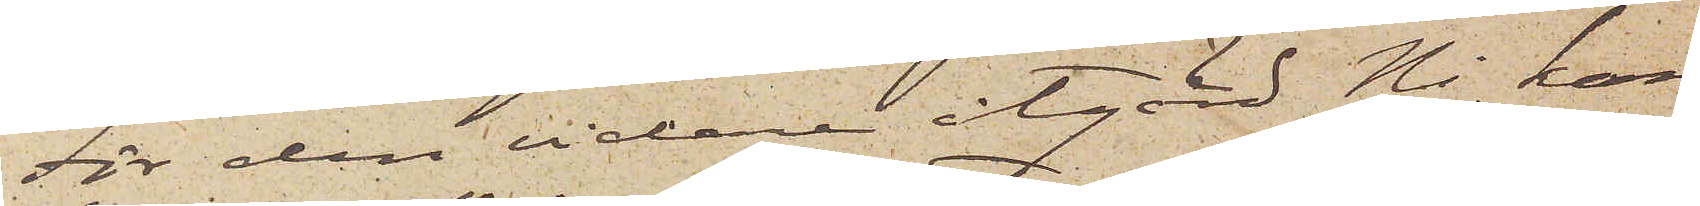För den vidare åtgärd Ni kan
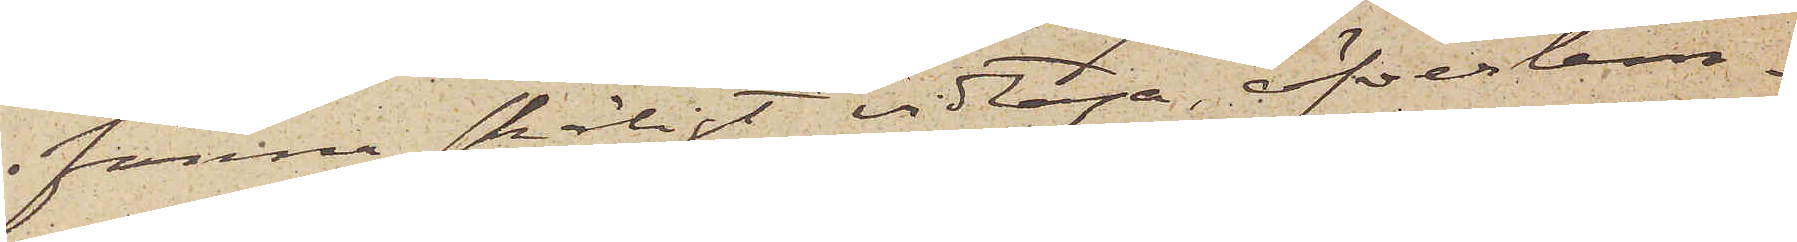finna skäligt vidtaga, öfverlem¬
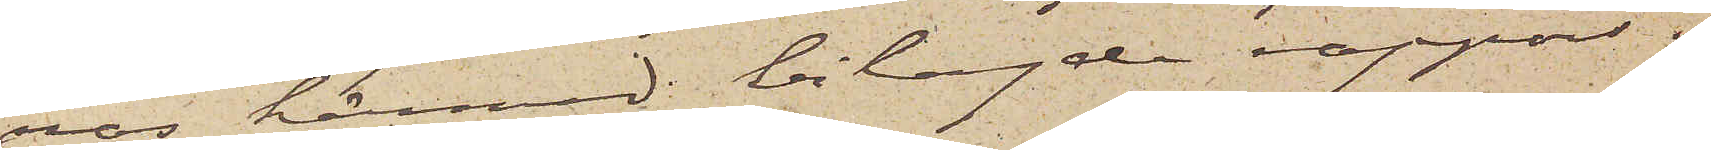nas härmed bilagde rapport.
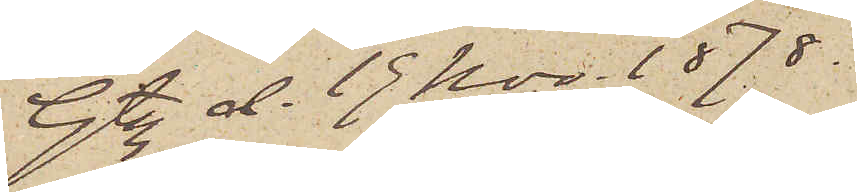Gtbg d. 19 Nov. 1878.
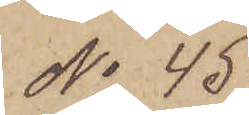No 45
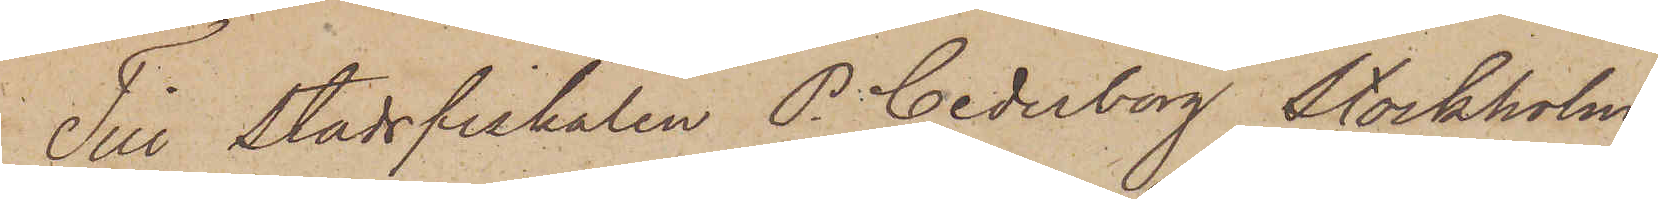Till Stadsfiskalen P. Cederborg Stockholm
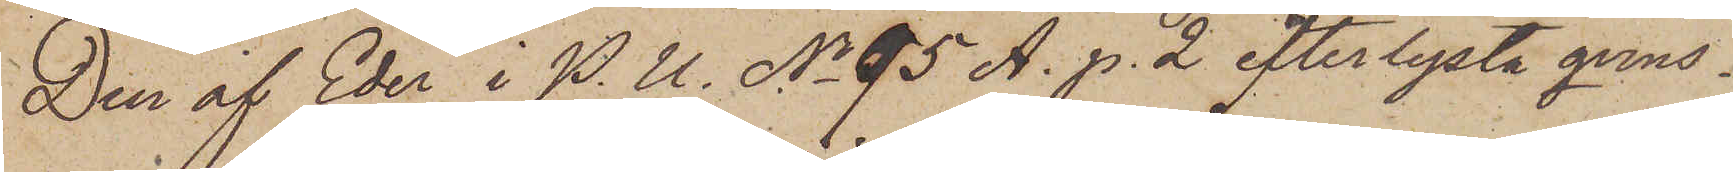Den af Eder i P. U. No 95 A. p. 2 efterlysta qvins¬
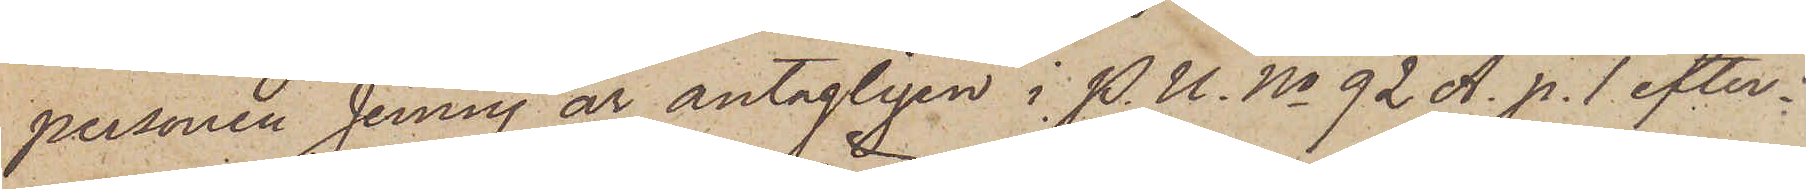personen Jenny är antagligen i P. U. No 92 A. p. 1 efter¬
